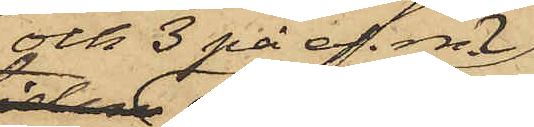och 3 på ef. m.
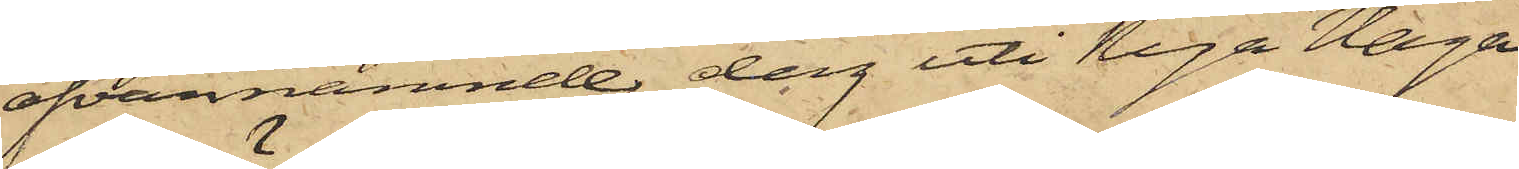ofvannämnde dag uti Nya Haga
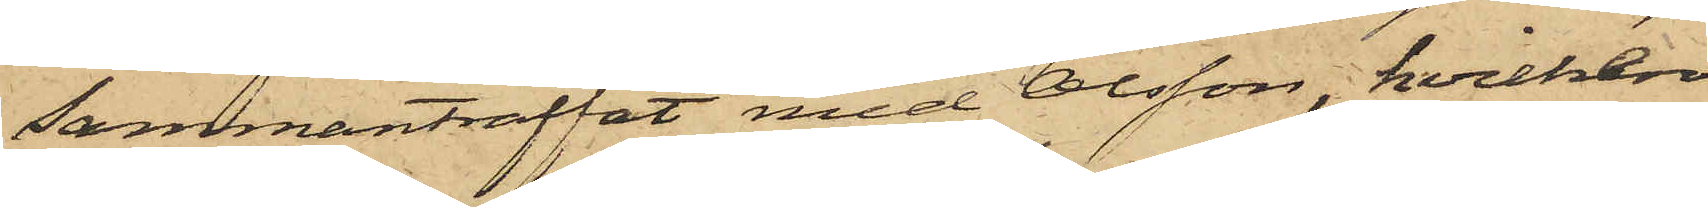sammanträffat med Olsson, hvilken
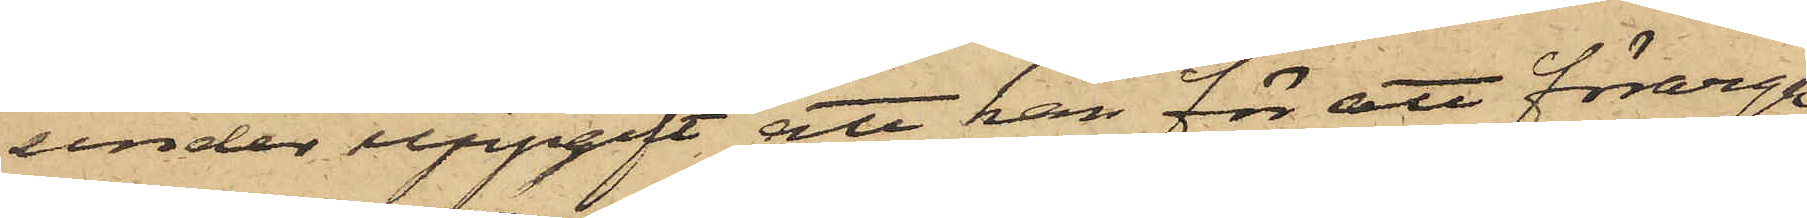under uppgift, att han för att förarga
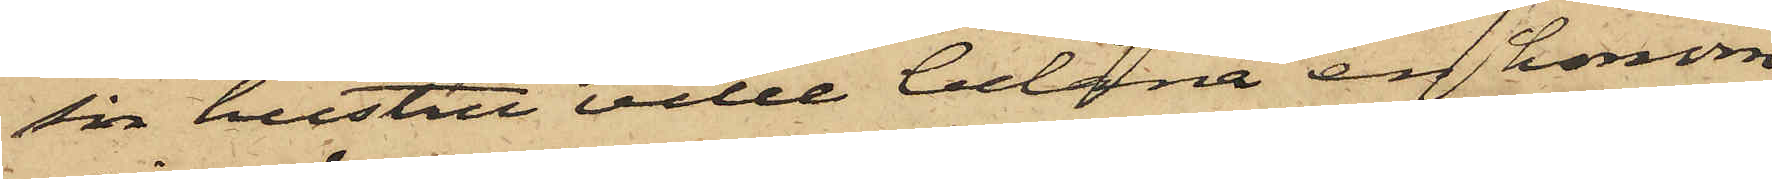sin hustru ville belåna en honom
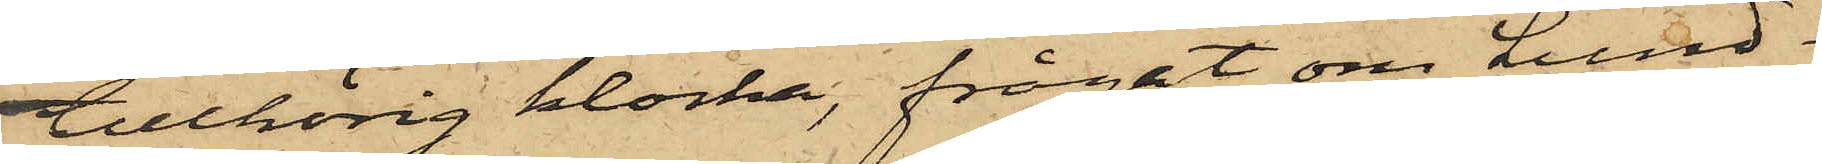tillhörig klocka, frågat om Lund¬
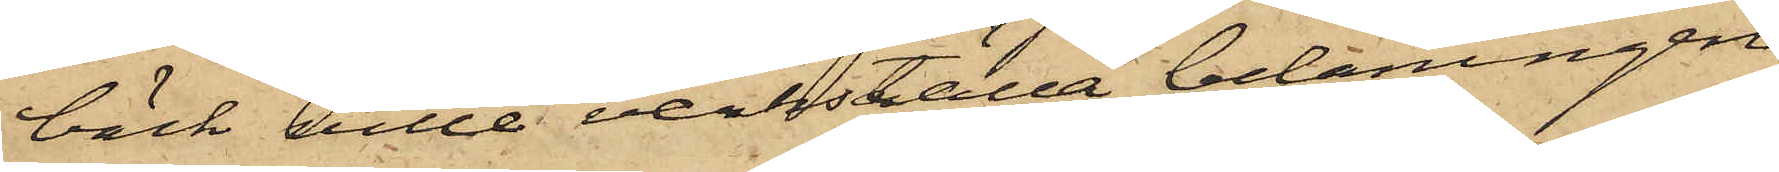bäck ville verkställa belåningen;
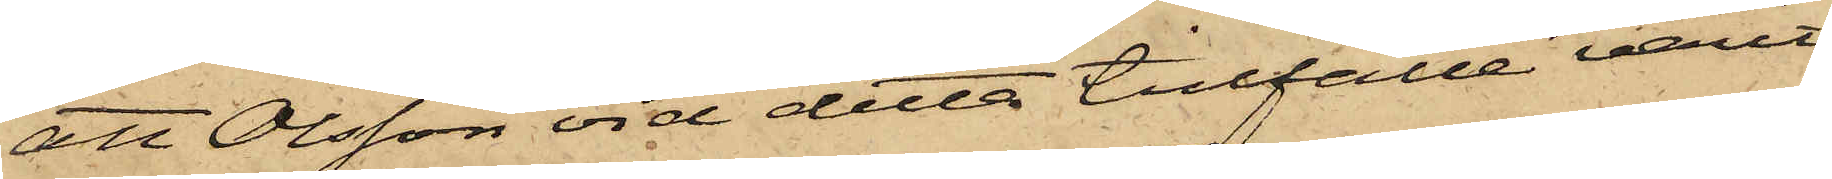att Olsson vid detta tillfälle varit
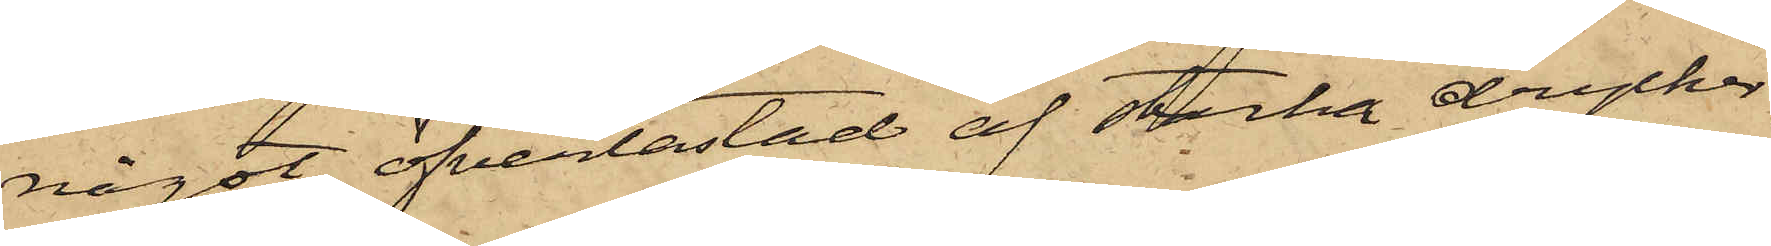något öfverlastad af starka drycker,
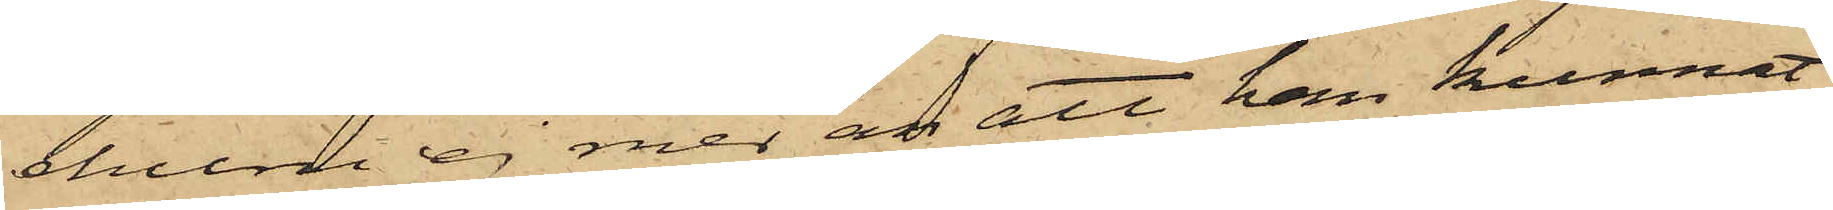ehuru ej mer än att han kunnat
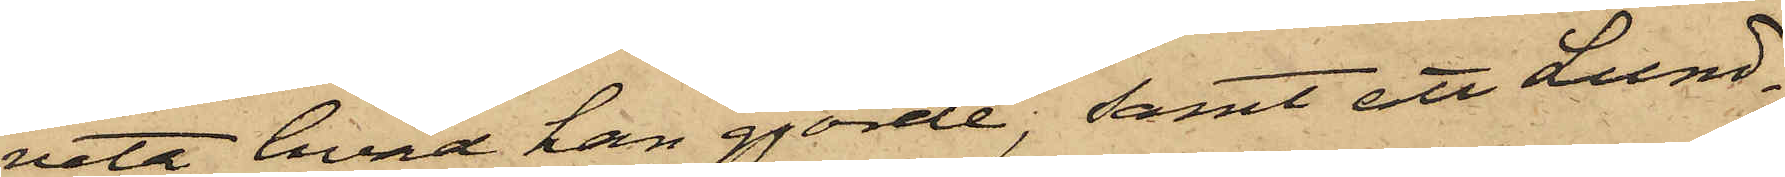veta hvad han gjorde; samt att Lund¬
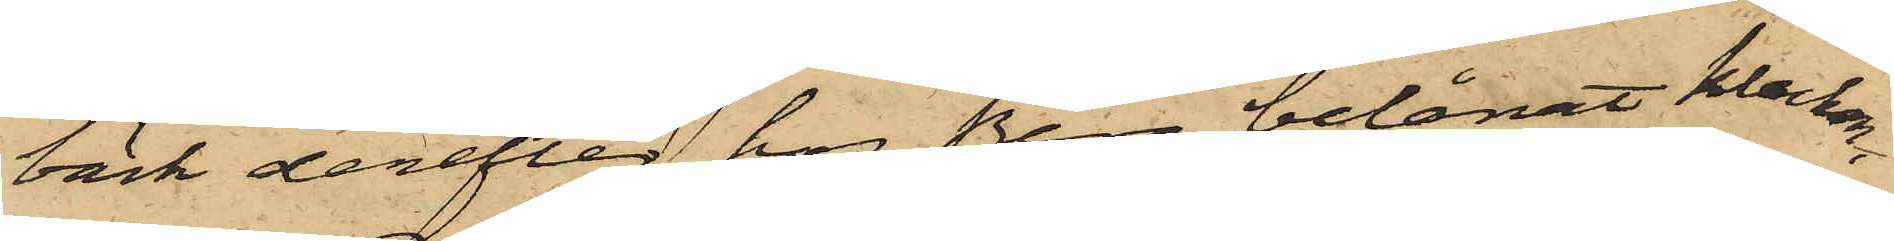bäck derefter hos Berg belånat klockan
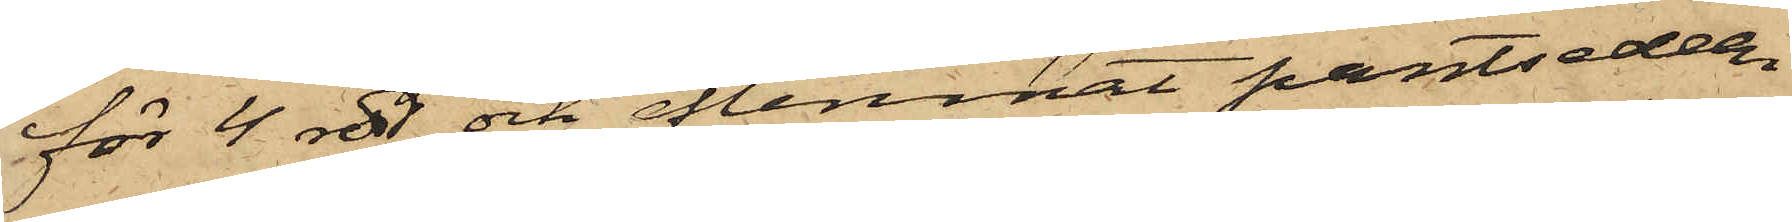för 4 rdr och aflemnat pantsedeln
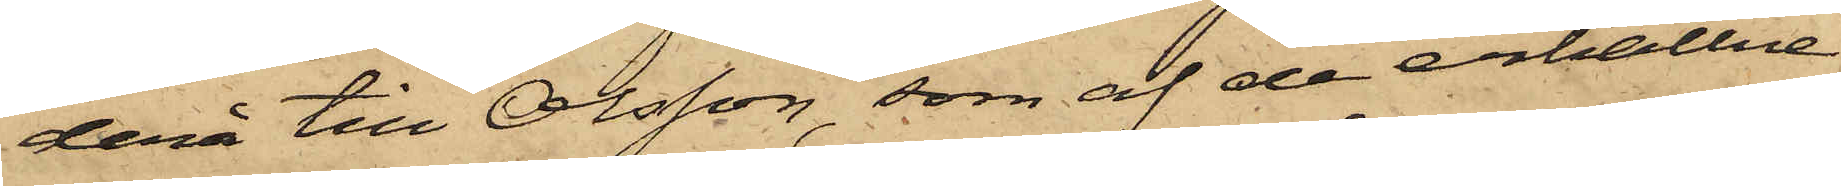derå till Olsson, som af de erhållne
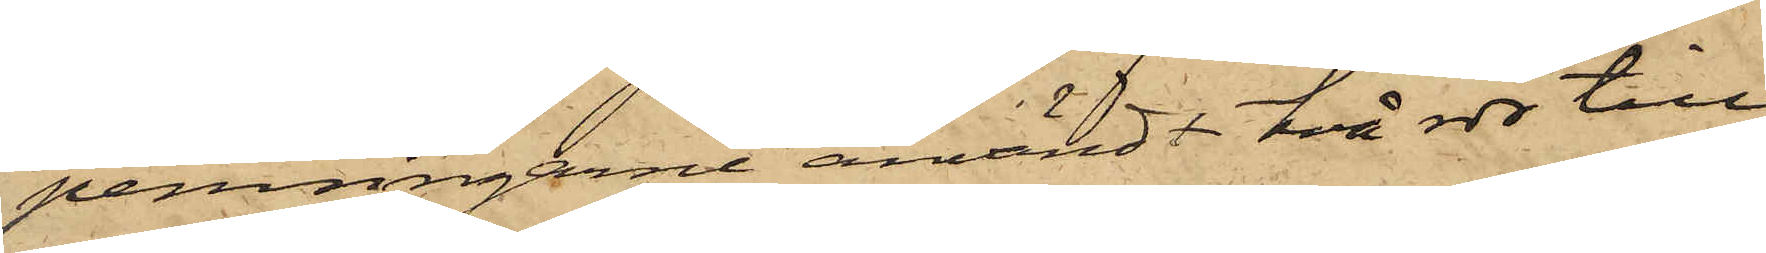penningarne användt två rdr till
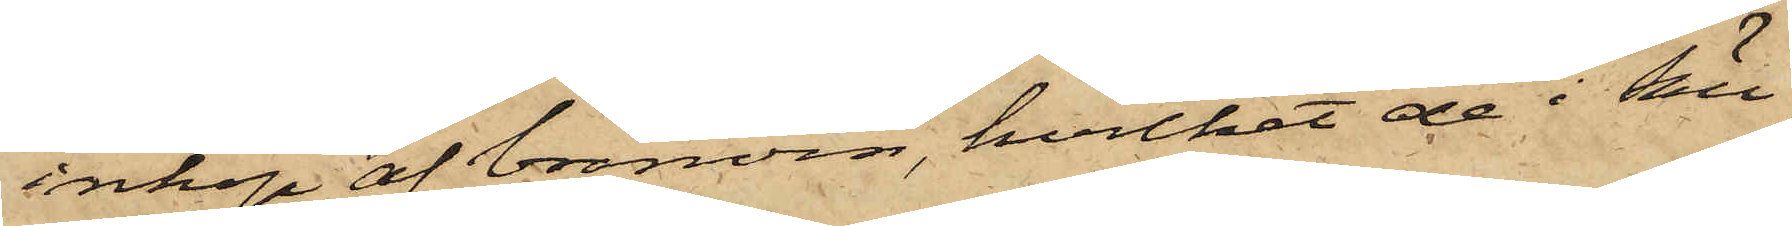inköp af bränvin, hvilket de i till¬
